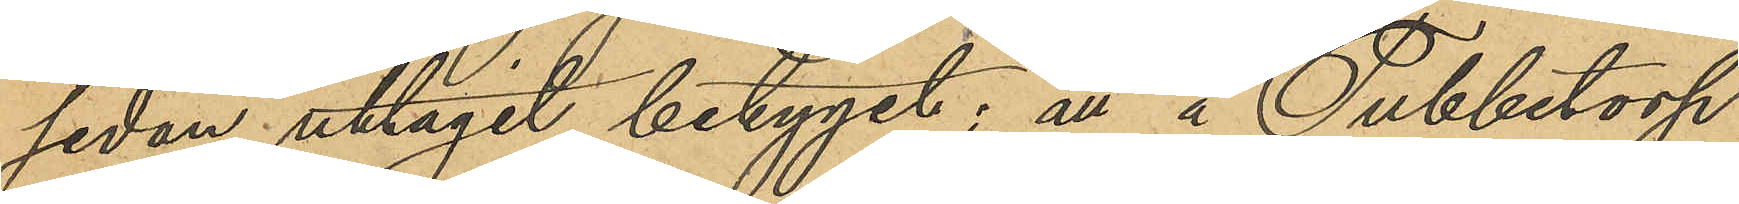sedan uttagit betyget; att å Tubbetorp
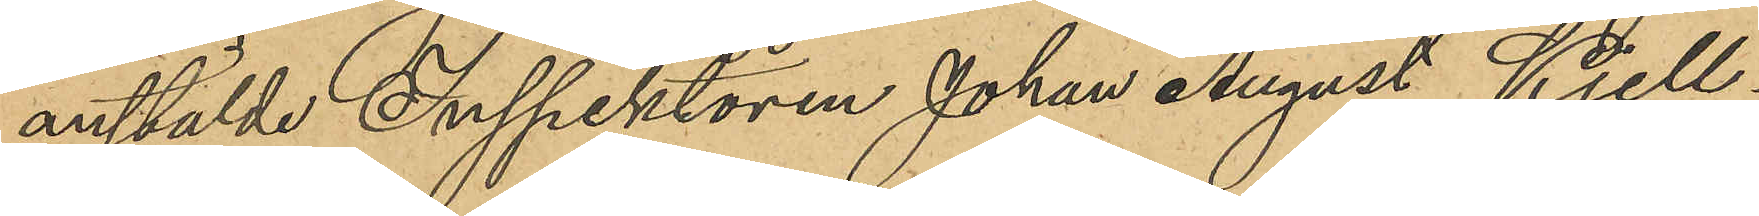anstälde Inspektören Johan August Kjell¬
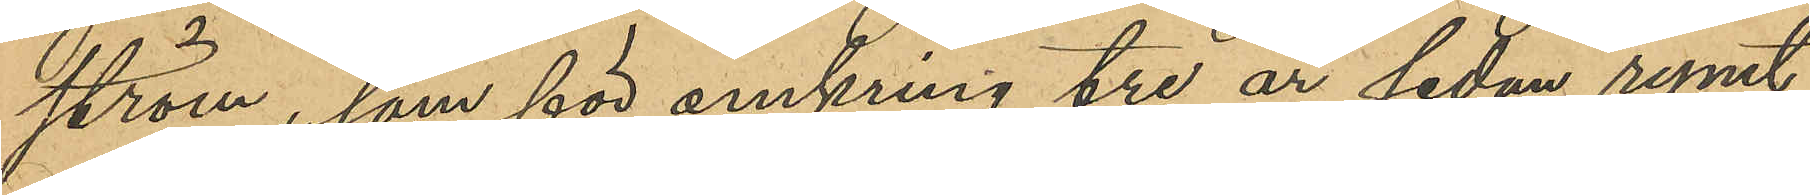ström, som för omkring tre år sedan rymt
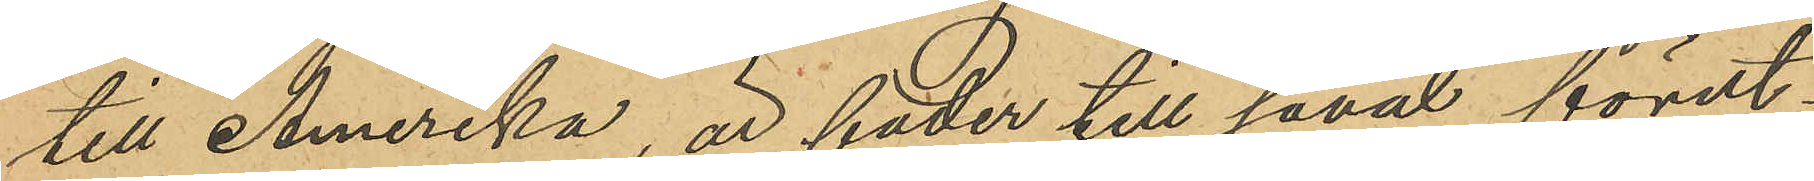till Amerika, är fader till såväl förut¬
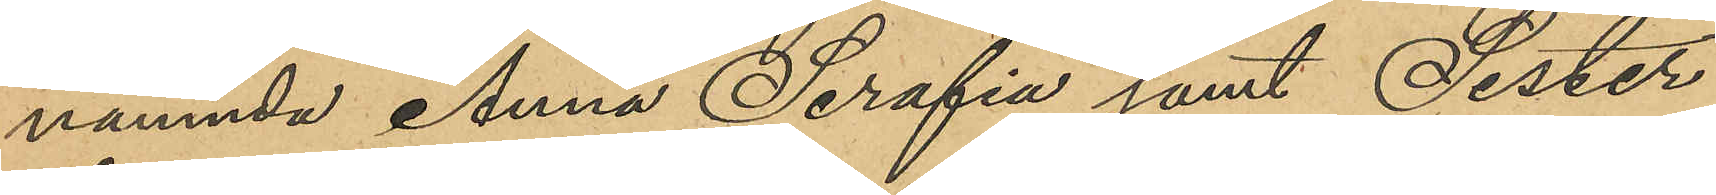nämnda Anna Serafia samt Sester
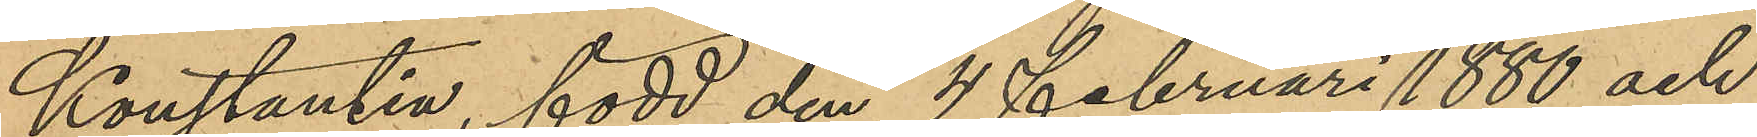Konstantia, född den 4 Februari 1880 och
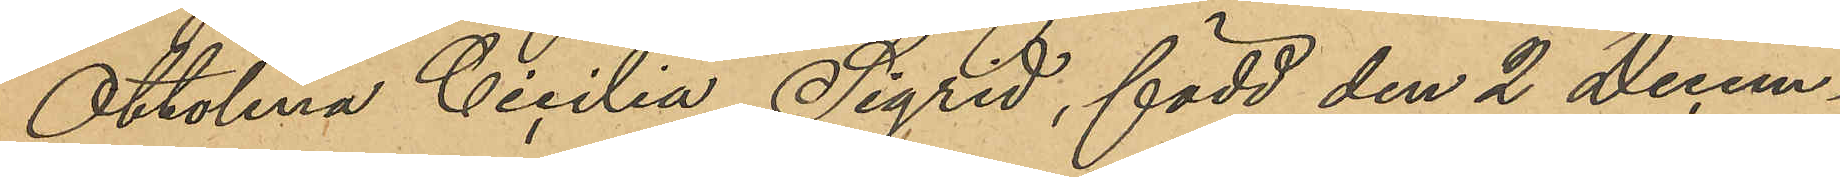Ottolina Cicilia Sigrid, född den 2 Decem¬
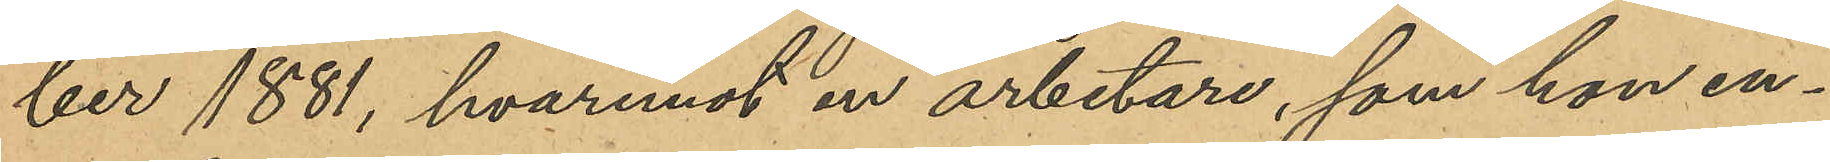ber 1881, hvaremot en arbetare, som hon en¬
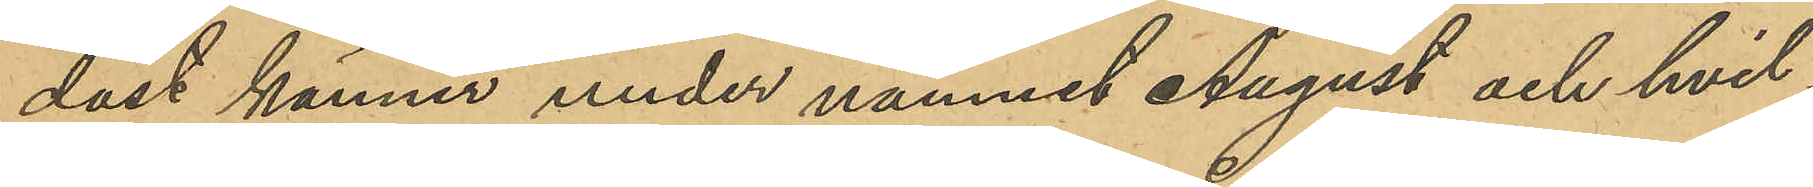dast känner under namnet August och hvil¬
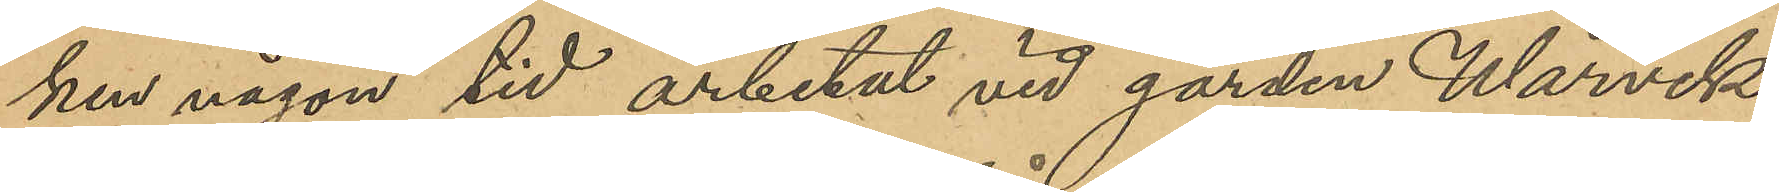ken någon tid arbetat vid gården Wårvik
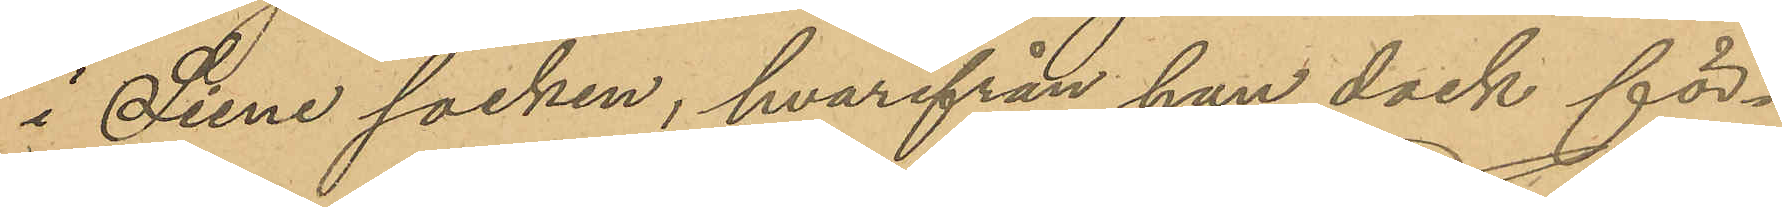i Siene socken, hvarifrån han dock för¬
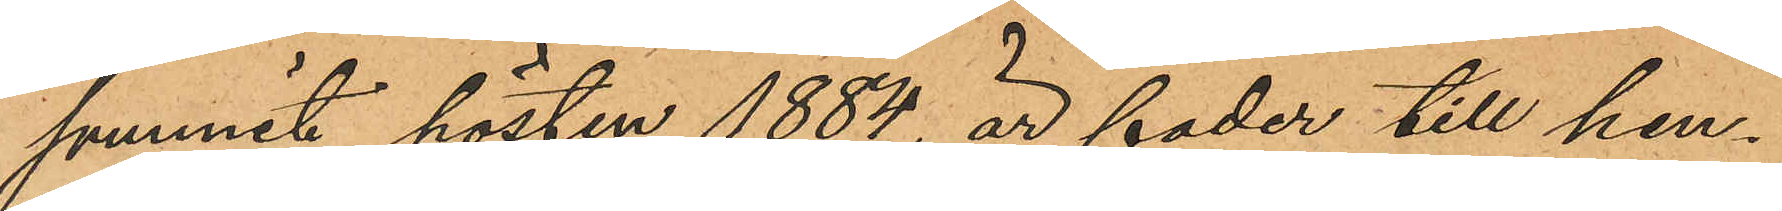svunnit hösten 1884, är fader till hen¬
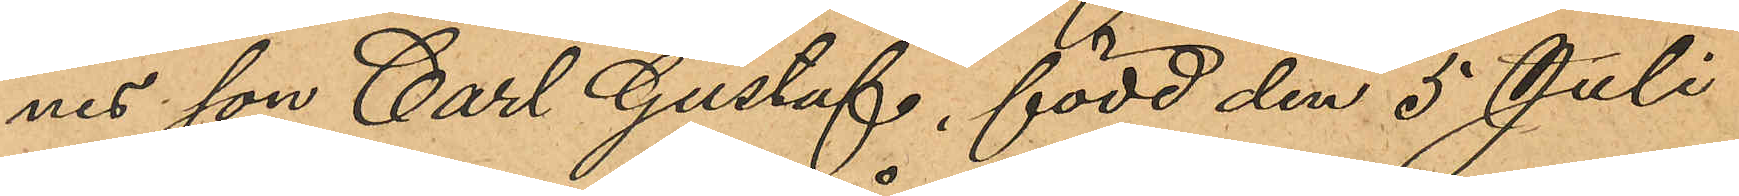nes son Carl Gustaf, född den 5 Juli
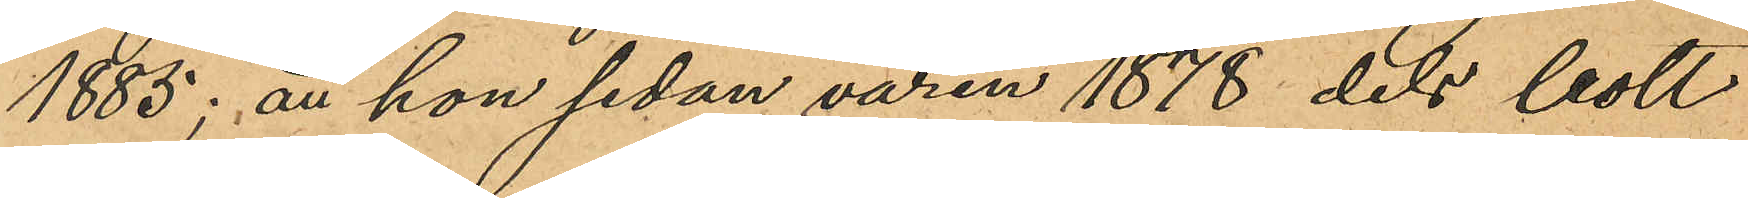1885; att hon sedan våren 1878 dels bott
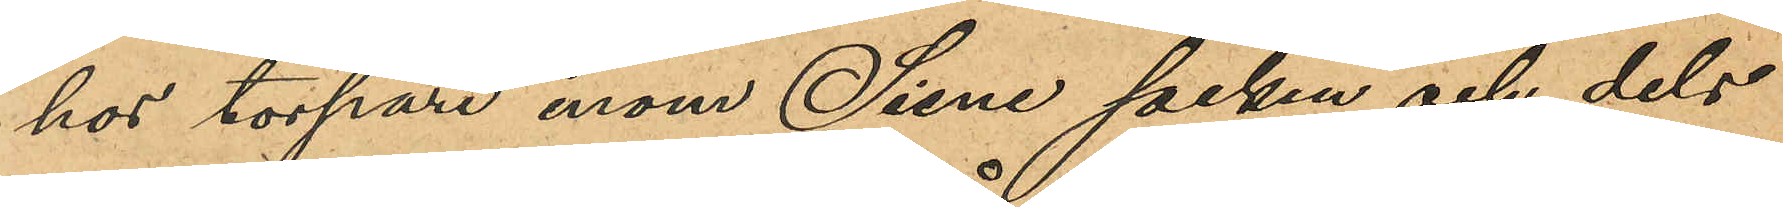hos torpare inom Siene socken och dels
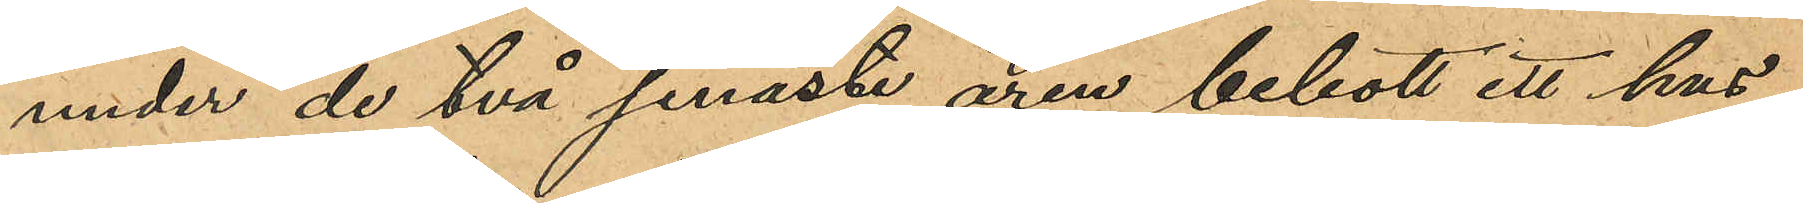under de två senaste åren bebott ett hus
